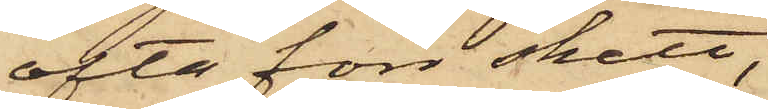ofta förr skett,
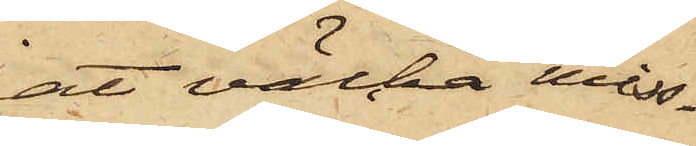börjat väcka miss¬
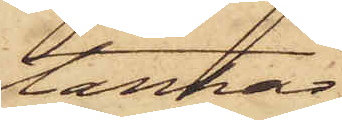tankar;
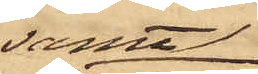samt
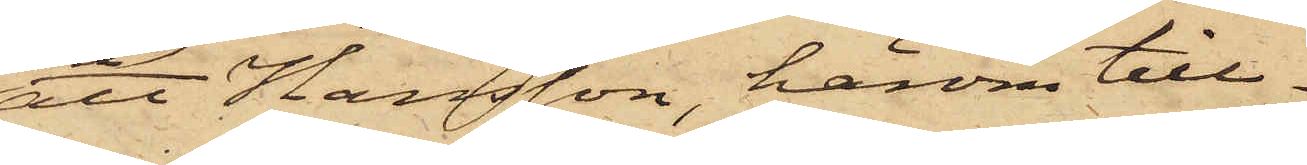att Hansson, honom till¬
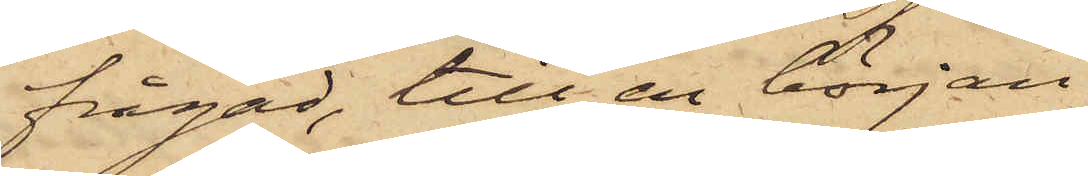frågad, till en början
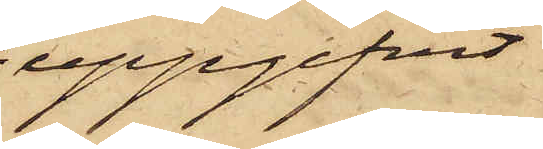uppgifvit
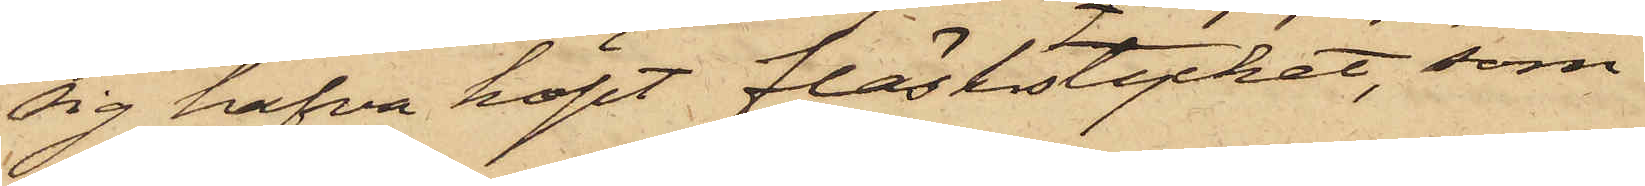sig hafva köpt fläskstycket, som
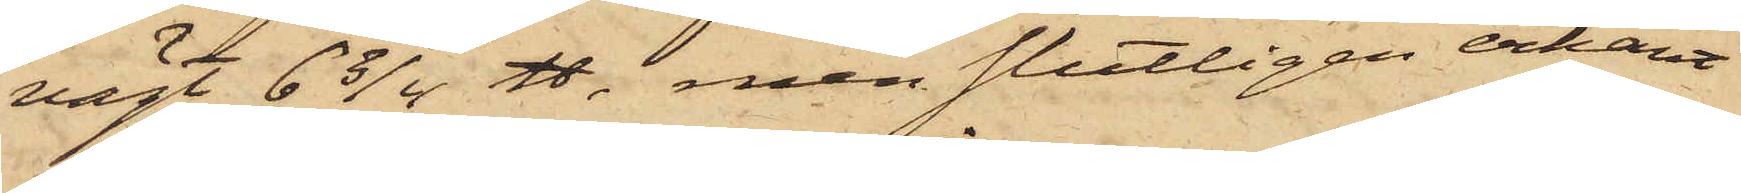vägt 6 3/4 ℔, men slutligen erkänt
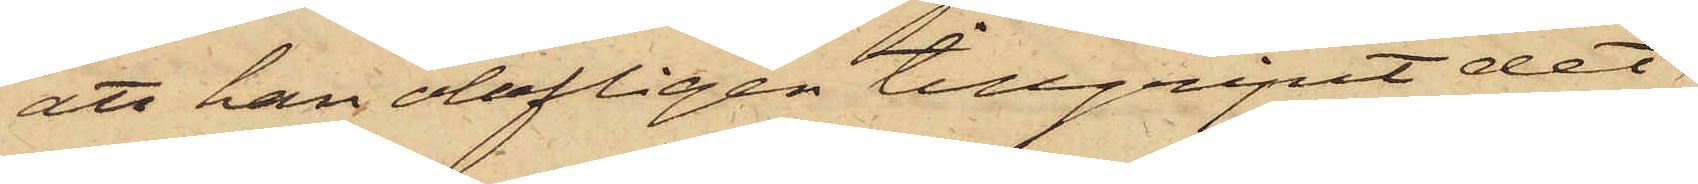att han olofligen tillgripit det
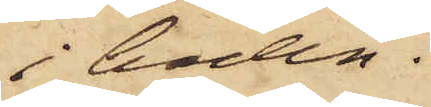i boden.
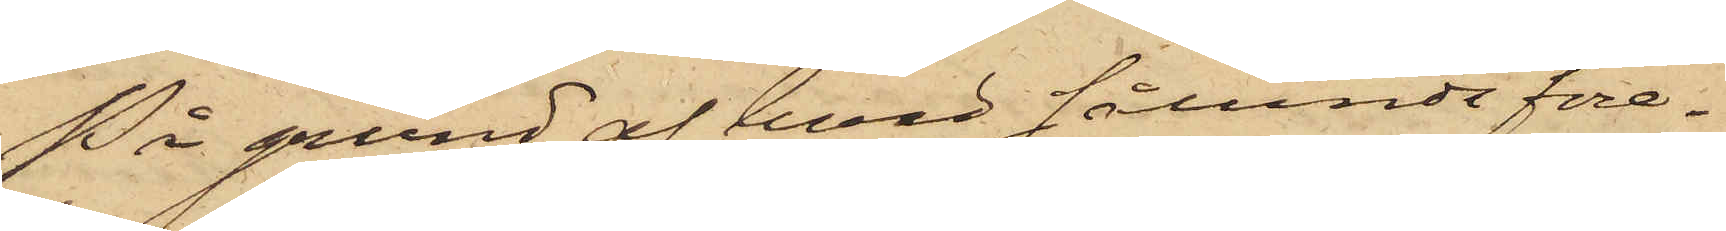På grund af hvad sålunda före¬
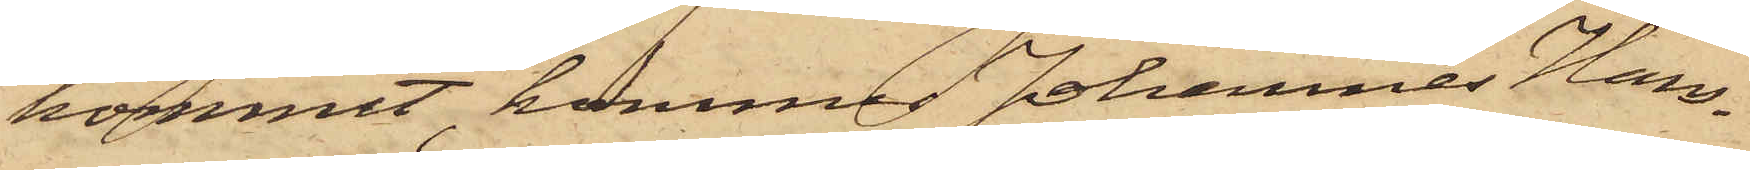kommit, kommer Johannes Hans¬
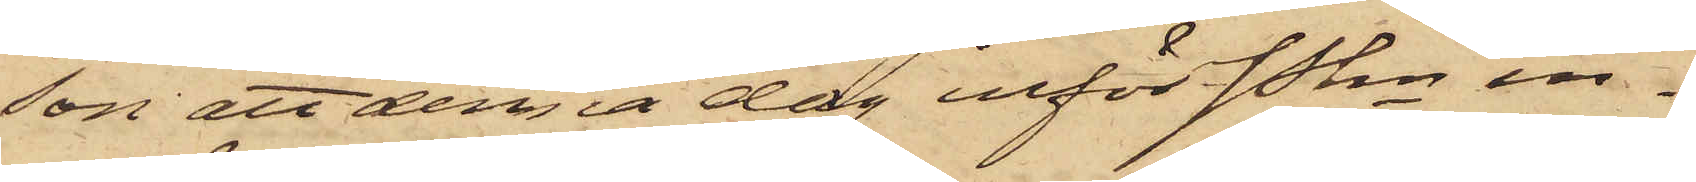son att denna dag inför Pkn in¬
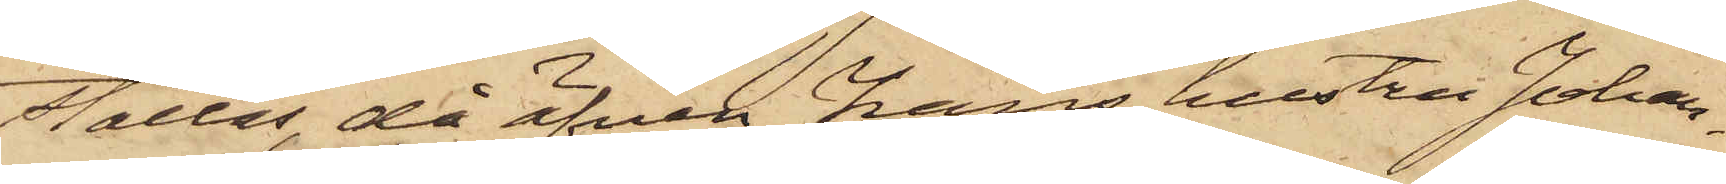ställas, då äfven hans hustru Johan¬
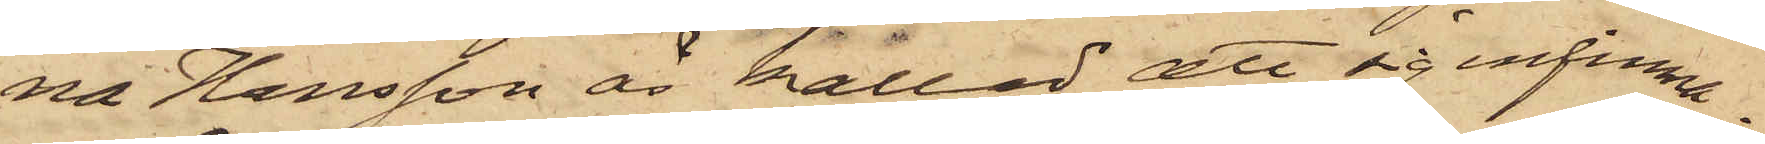na Hansson är kallad att sig infinna.
